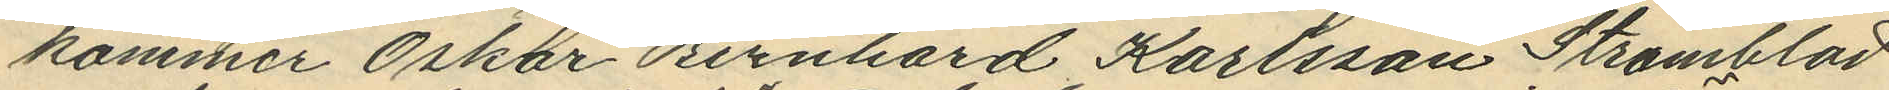kommer Oskar Bernhard Karlsson Strömblad
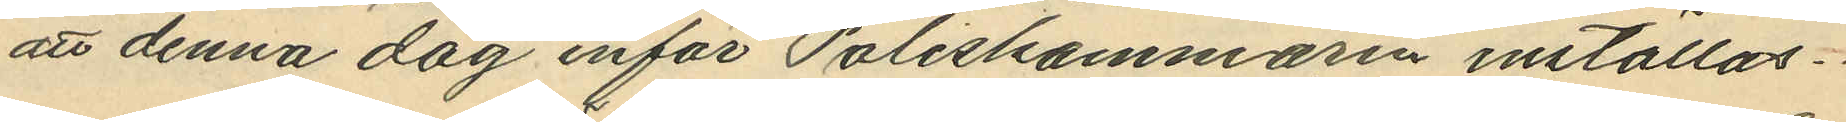att denna dag inför Poliskammaren inställas.
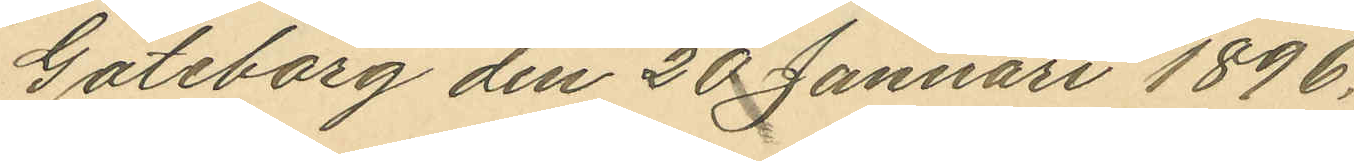Göteborg den 20 Januari 1896.
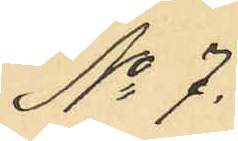No 7.
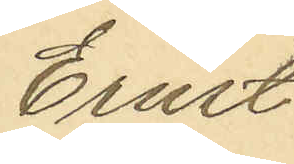Ernst
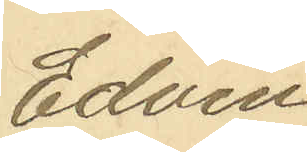Edvin
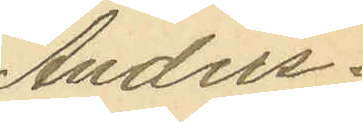Anders¬
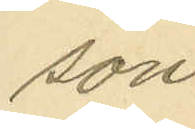son.
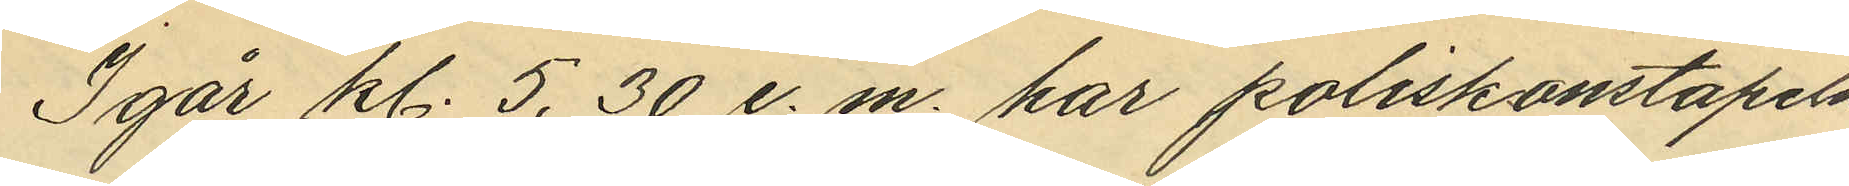Igår kl. 5,30 e. m. har poliskonstapeln
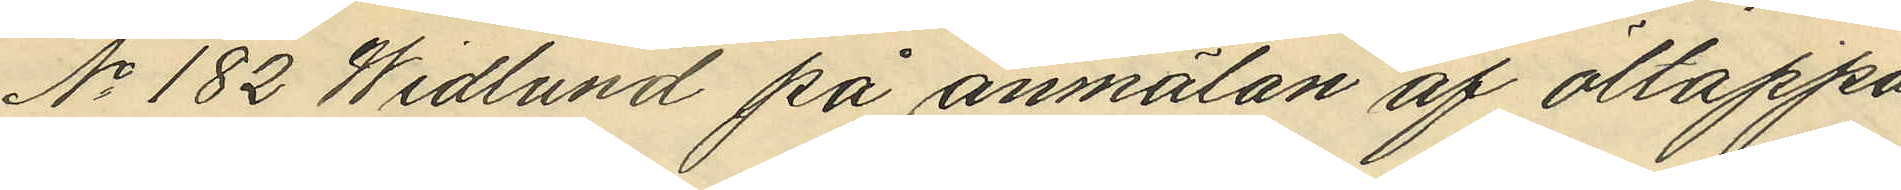No 182 Widlund på anmälan af öltappa¬
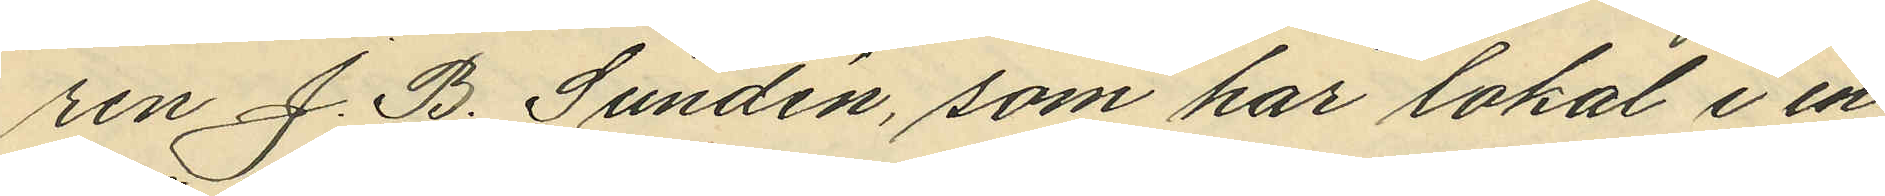ren J. B. Sundén, som har lokat i en
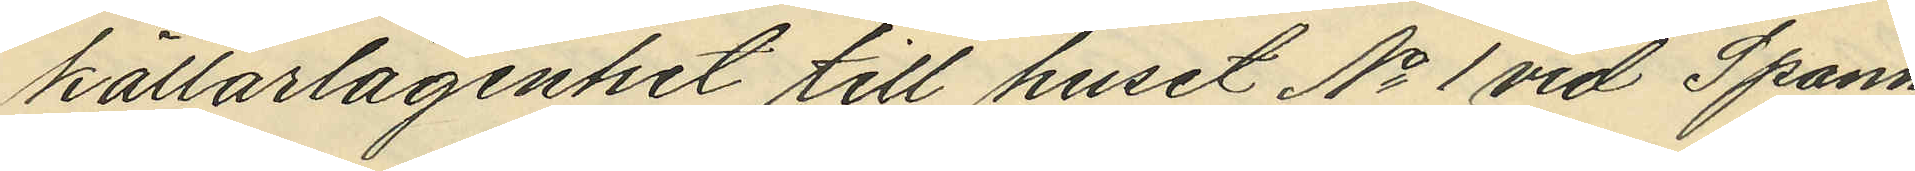kallarlägenhet till huset No 1 vid Spann¬
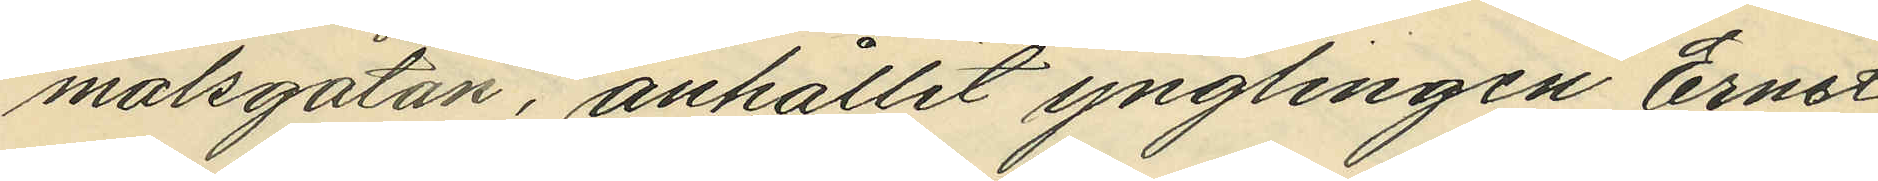målsgatan, anhållit ynglingen Ernst
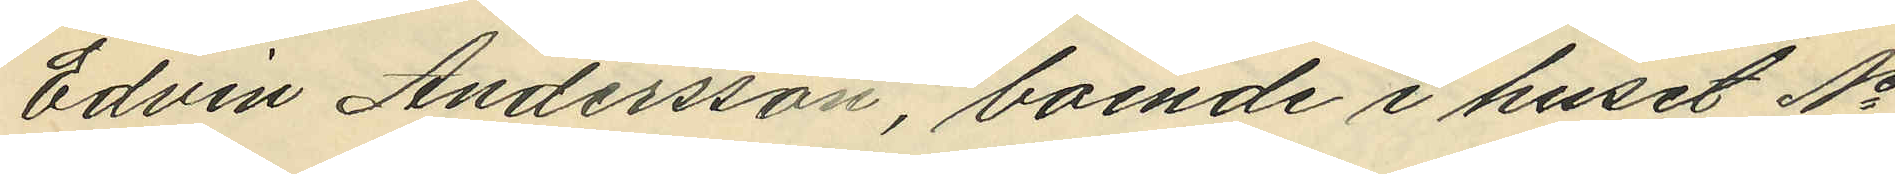Edvin Andersson, boende i huset No
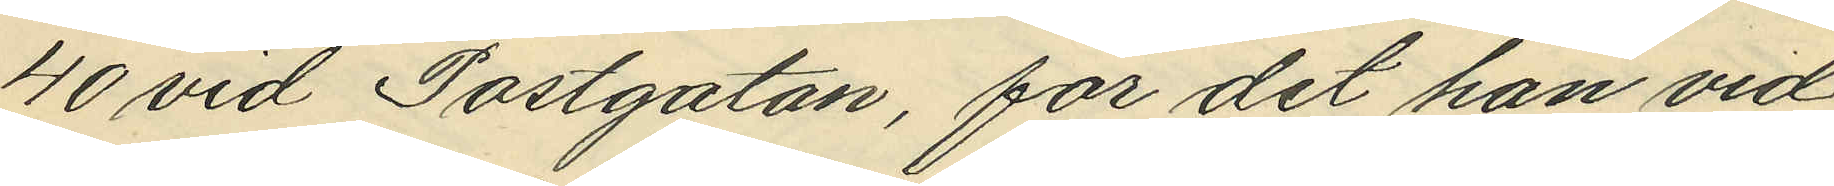40 vid Postgatan, för det han vid
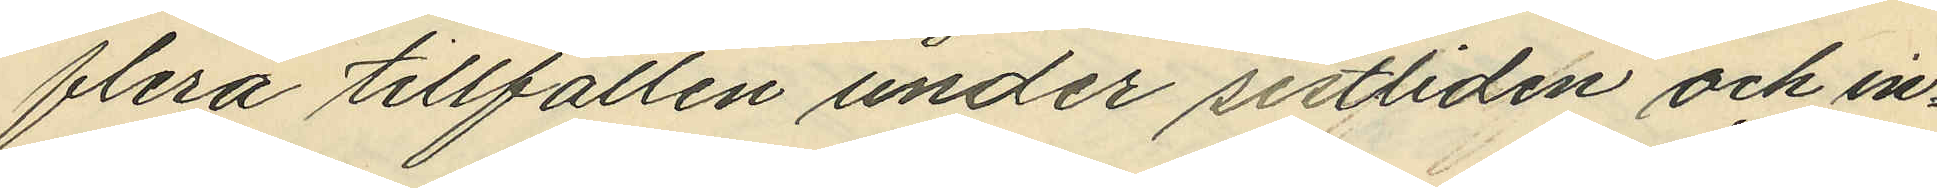flera tillfällen under sistliden och in¬
